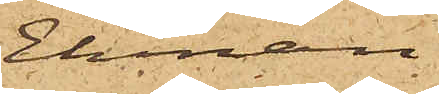Ekman
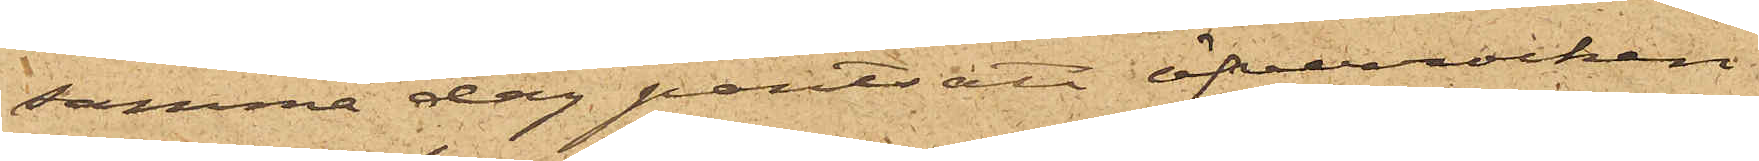samma dag pantsatt öfverrocken
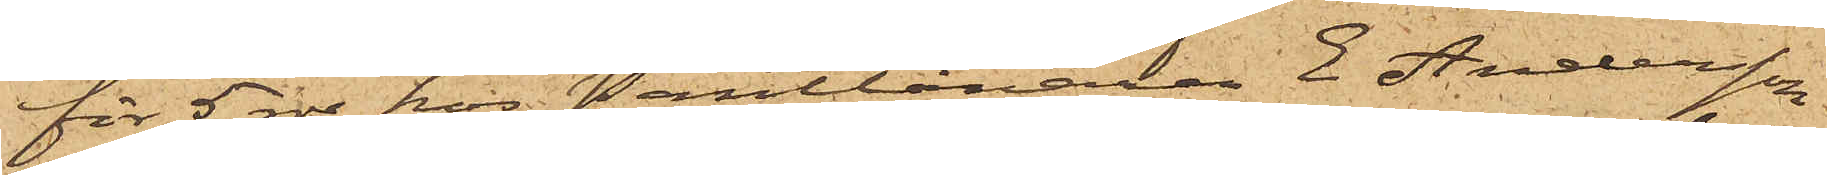för 5 rdr hos Pantlånaren E Andersson
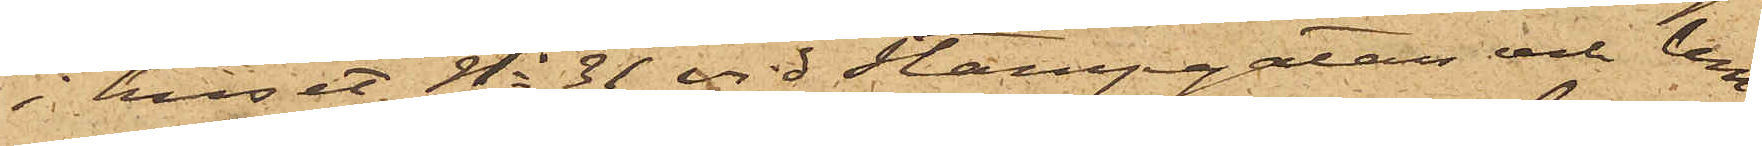i huset No 31 vid Stampgatan och lem¬
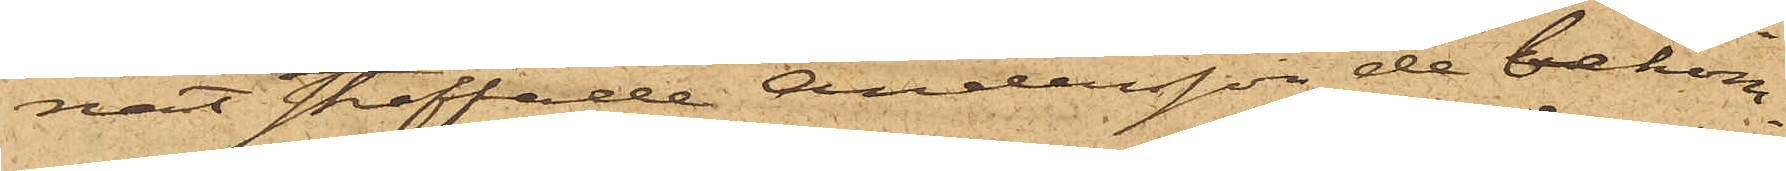nat straffade Andersson de bekom¬
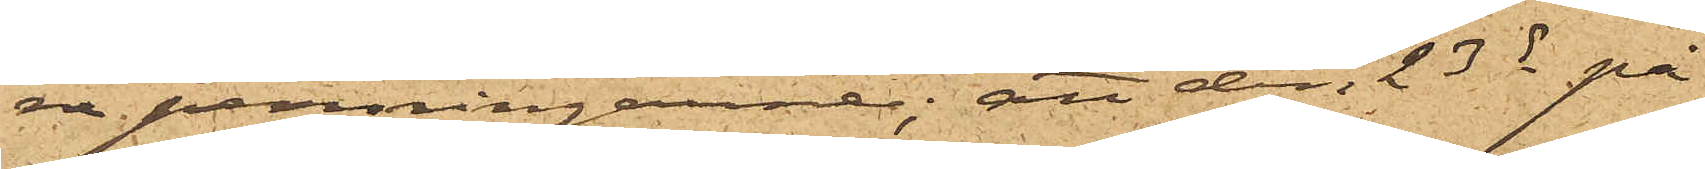na penningarne; att den 23 ds på
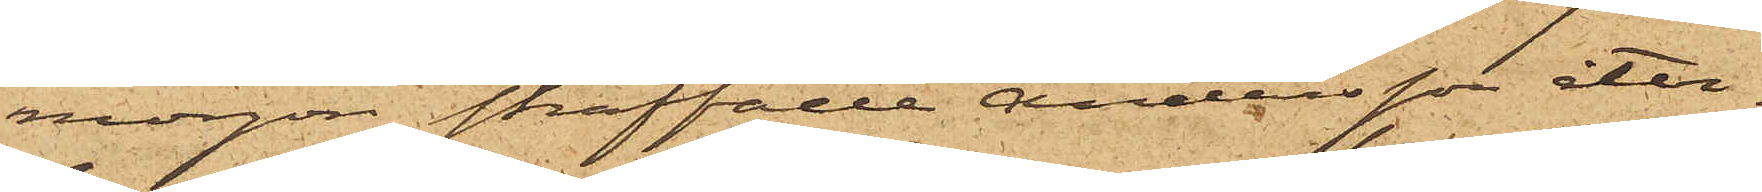morgon straffade Andersson åter¬
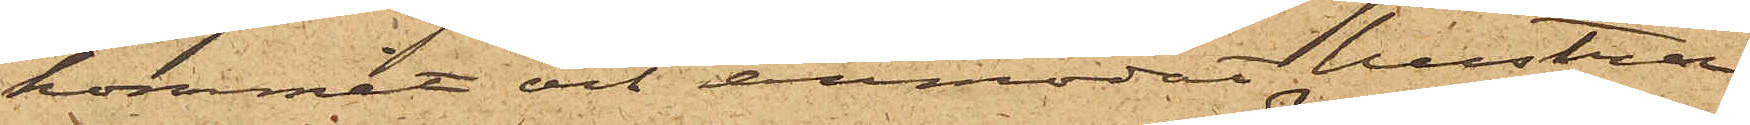kommit och anmodat hustrun
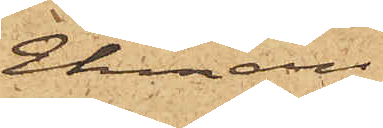Ekman
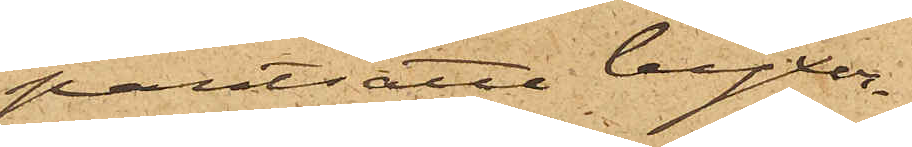pantsätta byxor¬
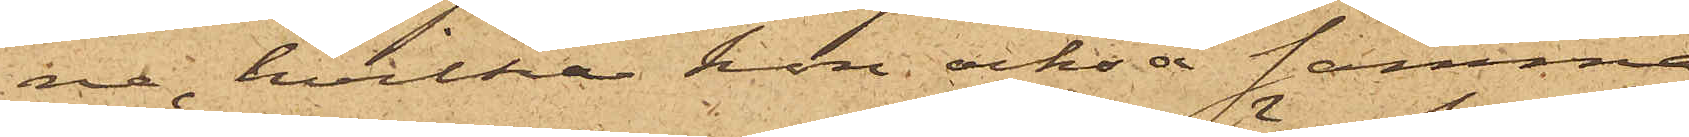ne, hvilka hon också samma
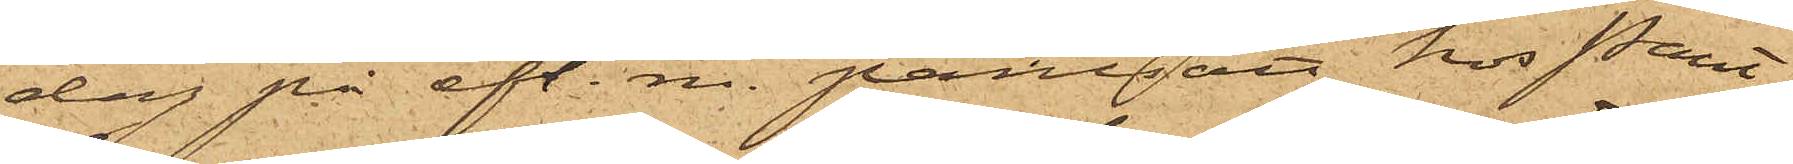dag på eft. m. pantsätt hos Pant¬
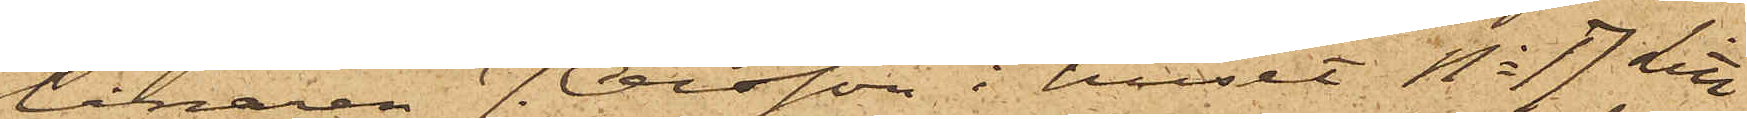lånaren J. Olsson i huset No 17 Litt
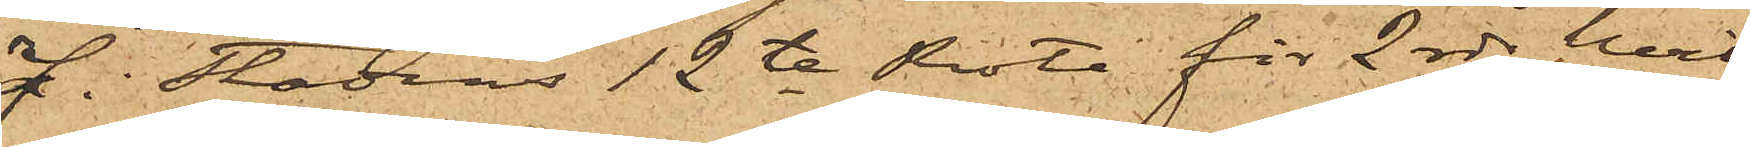J i Stadens 12te Rote för 2 rdr, hvil¬
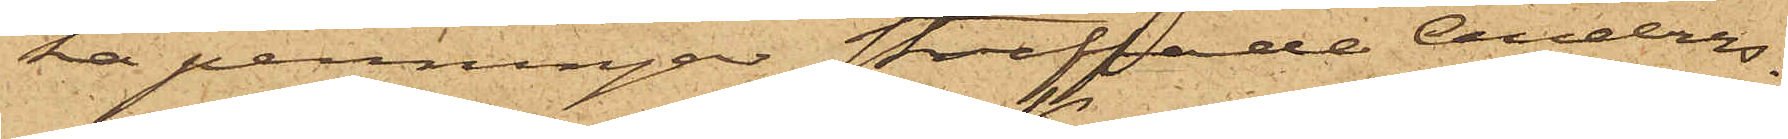ka penningar straffade Anders¬
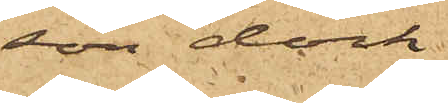son dock
